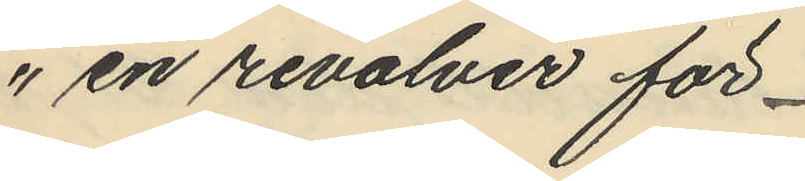" en revolver för
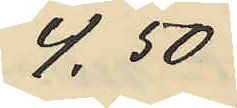4,50
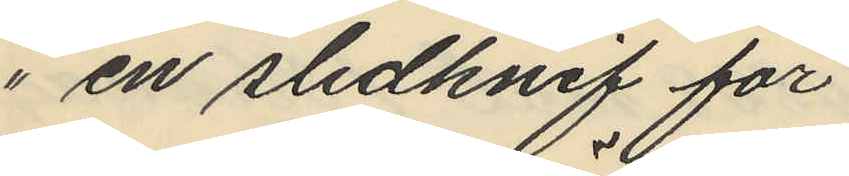" en slidknif för
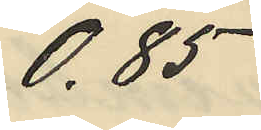0,85
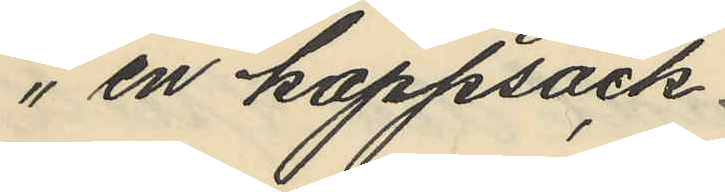" en kappsäck.
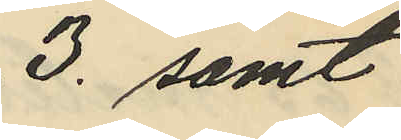3. samt
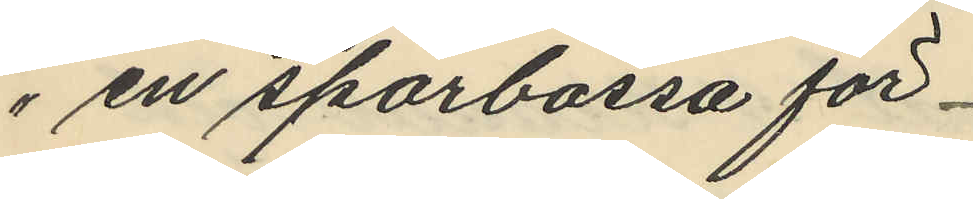" en sparbössa för
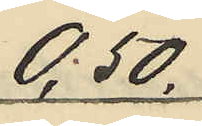0,50.
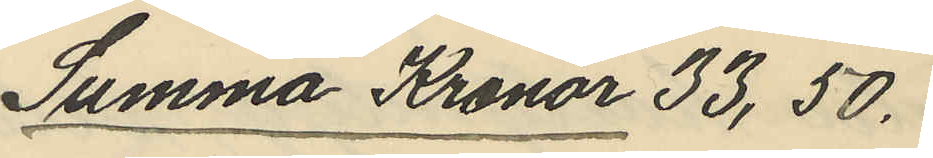Summa Kronor 33,50.
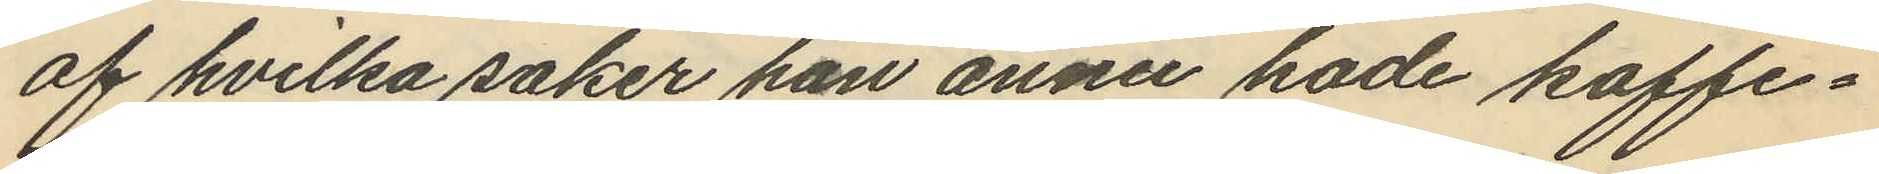af hvilka saker han ännu hade kaffe¬
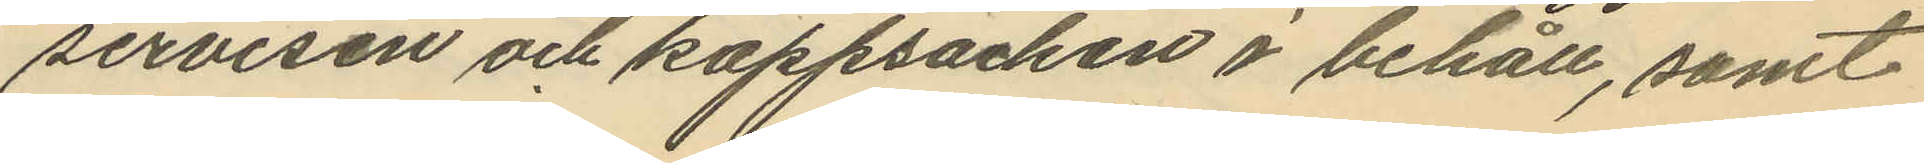servisen och kappsäcken i behåll, samt
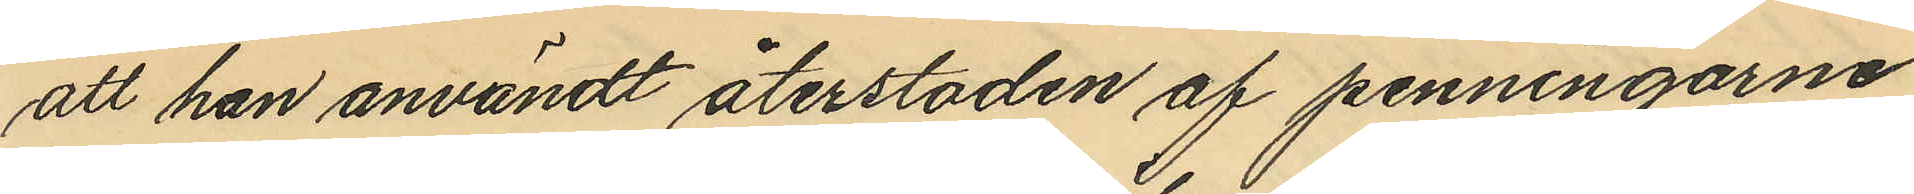att han användt återstoden af penningarne
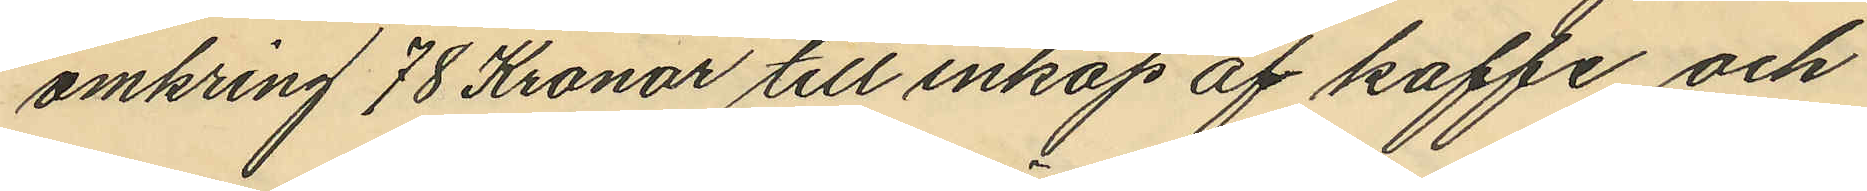omkring 78 Kronor till inköp af kaffe och
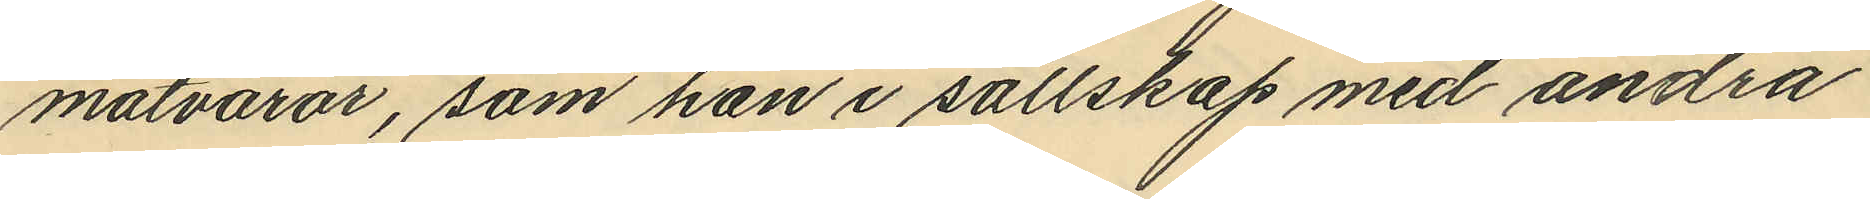matvaror, som han i sällskap med andra
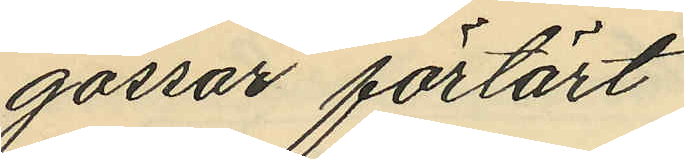gossar förtärt.
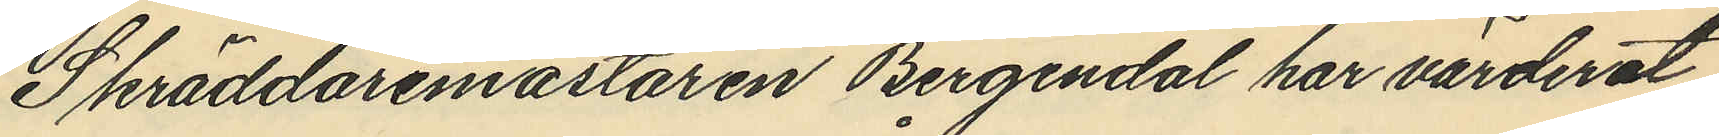Skräddaremästaren Bergendal har värderat
